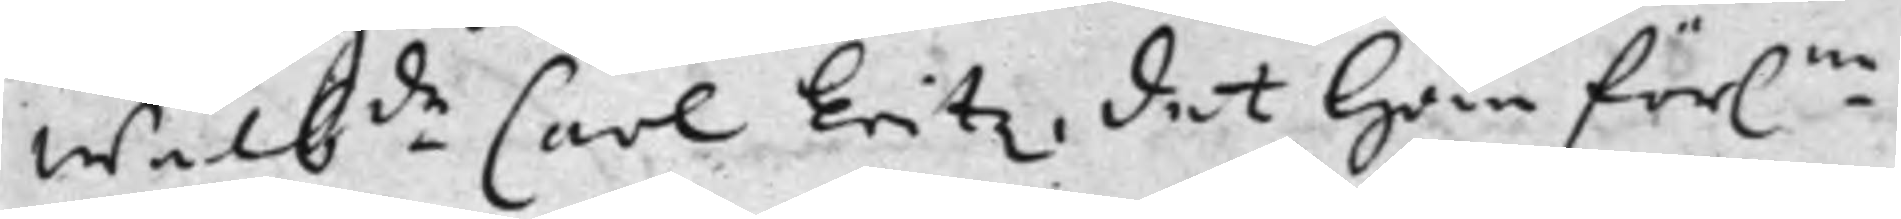Wälb.de Carl Eritz, det han för.ne
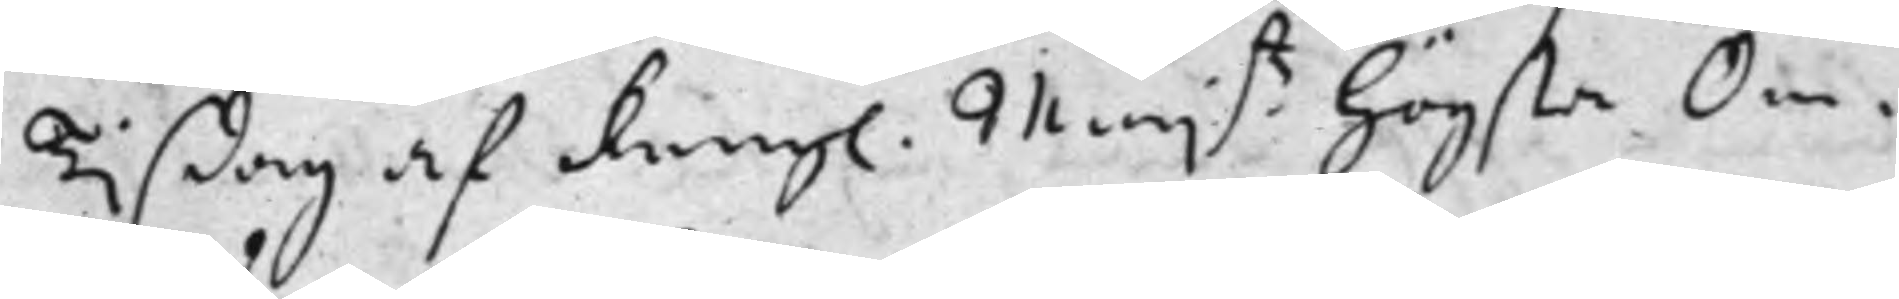Tisdag af Kongl. Maij:tz högsta Om¬
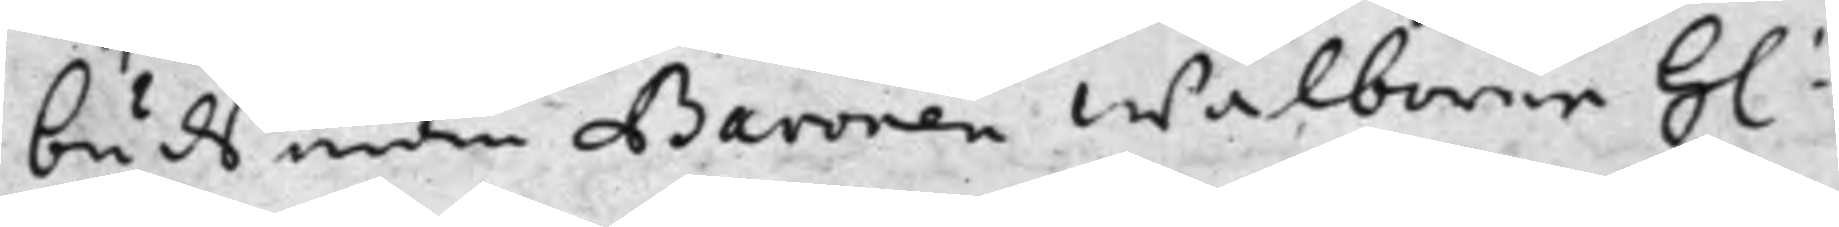budsman Baronen Wälborne H:
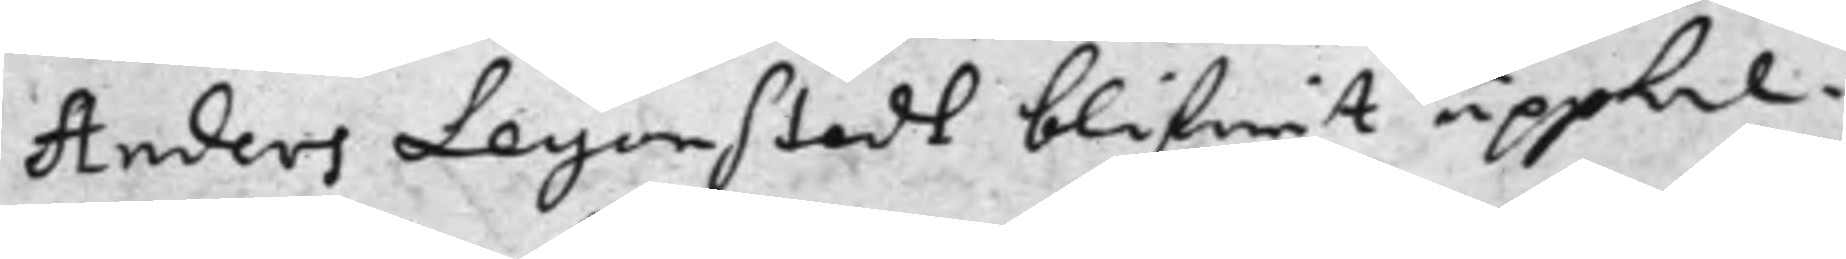Anders Leyonstedt blifwit uppkal¬
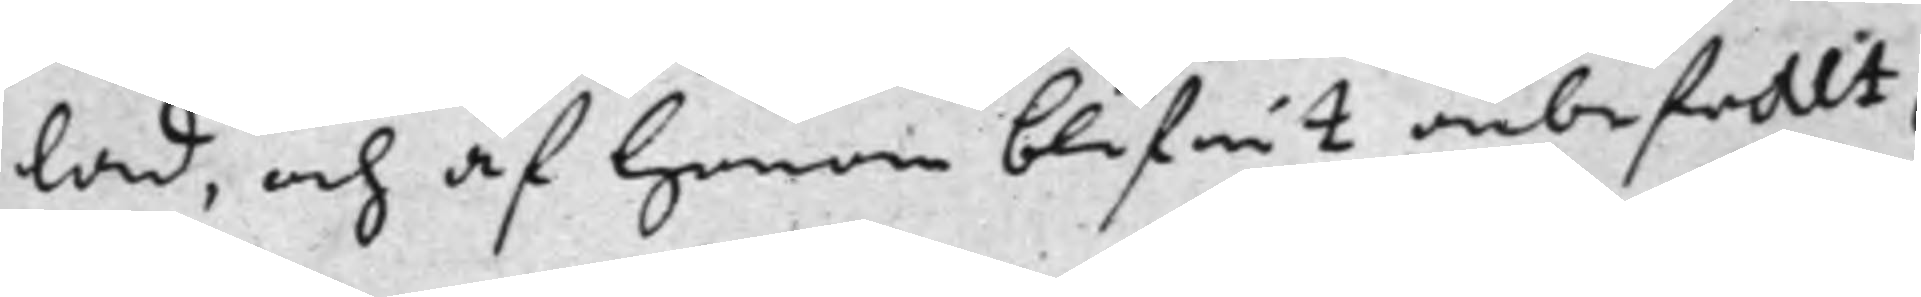lad, och af honom blifwit anbefallt,
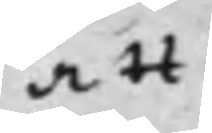att
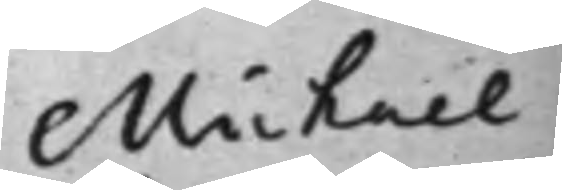Michael
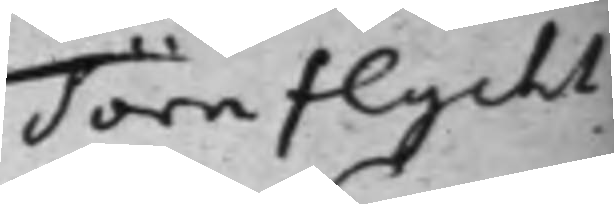Törnflycht
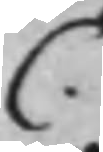C.
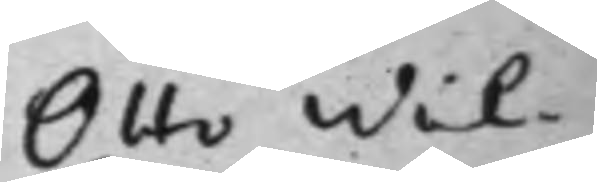Otto Wil¬
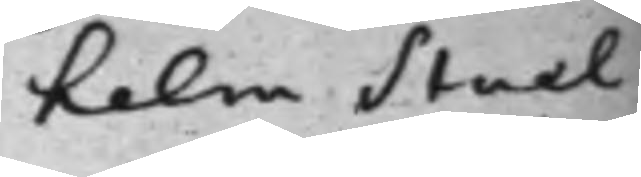helm Stael
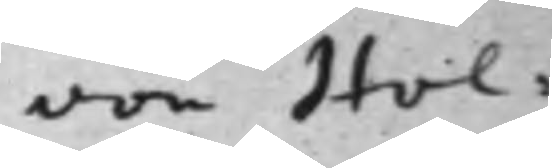von Hol¬
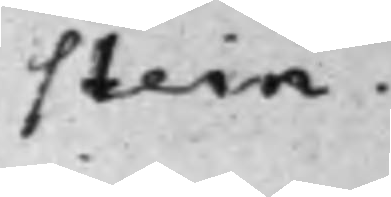stein.
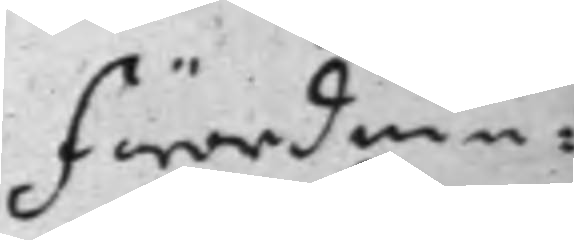Förordnin¬
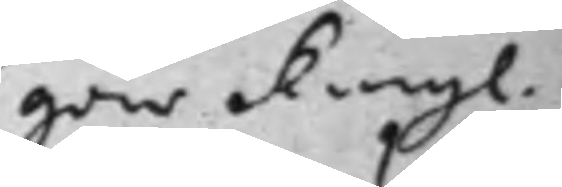gar Kongl.
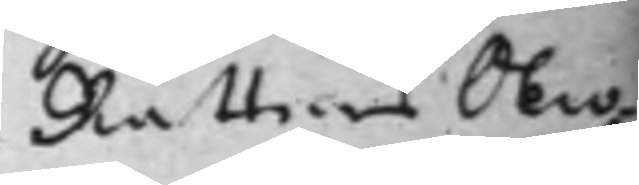Rättens Oeco¬
